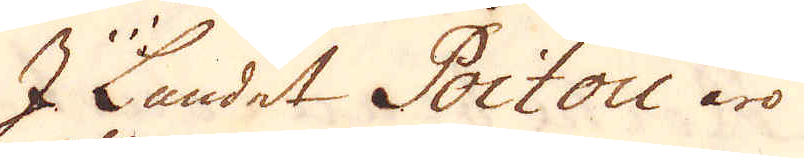I Landet Poitou äro
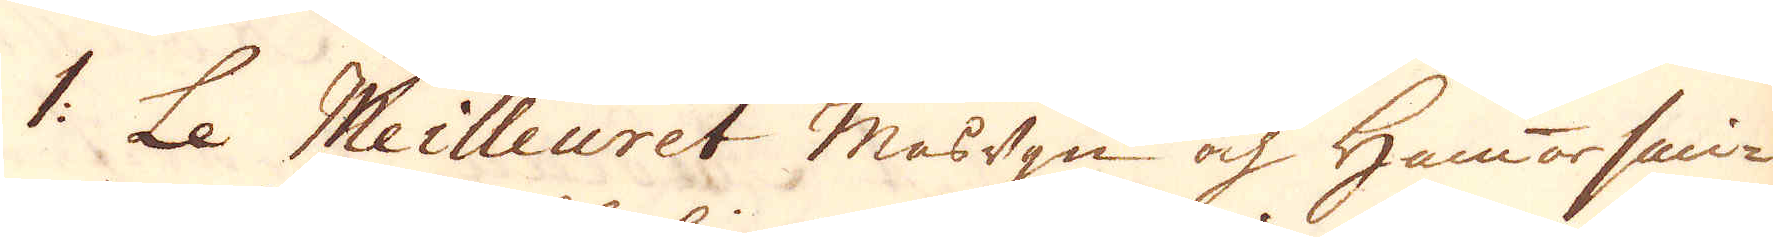1. Le Meilleuret Masugn och Hammarsmi-
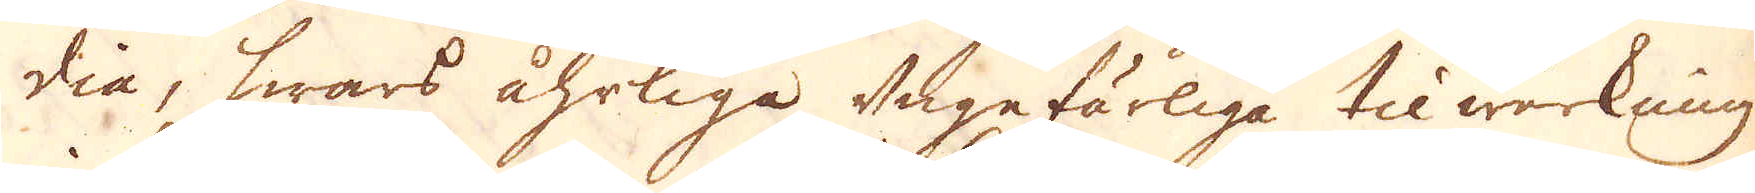dia, hwars åhrliga ungefärliga tilwerkning
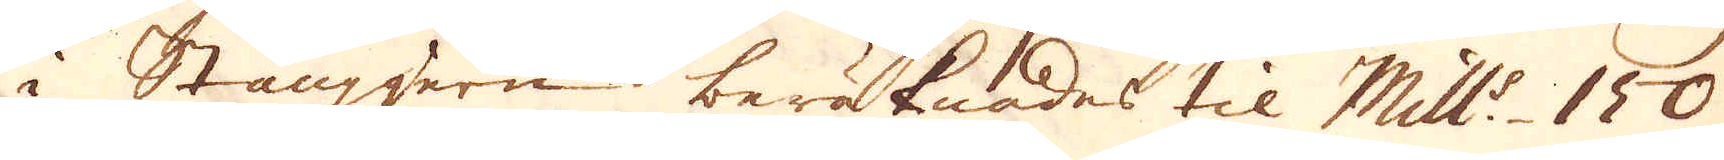i Stångjern beräknades til Mill:s 150
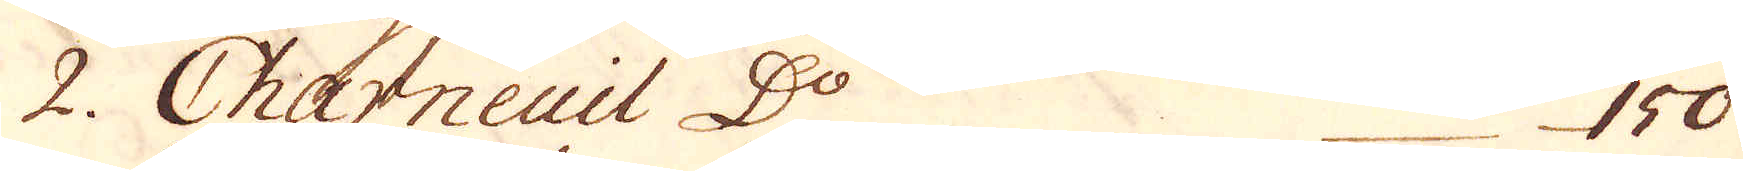2. Charneuil D:o 150
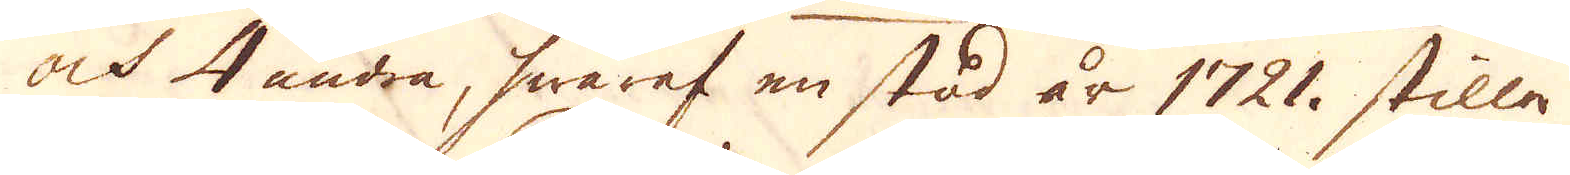och 4 andra, hwaraf en stod år 1721. stilla
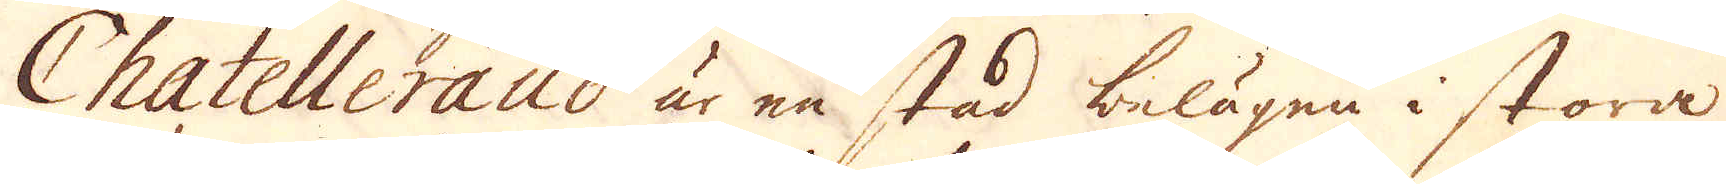Chatelleraud är en stad belägen i stora
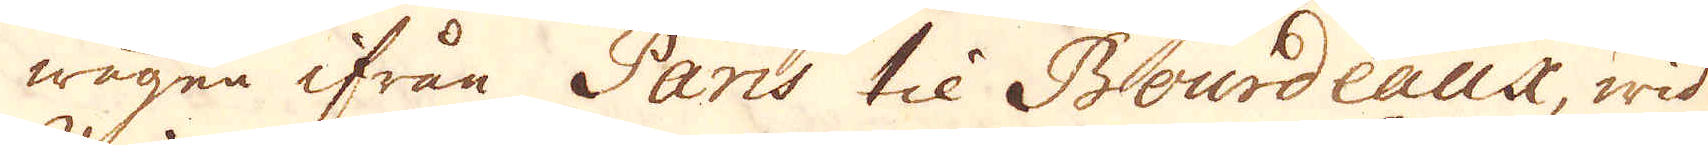wägen ifrån Paris til Bourdeaux, wid
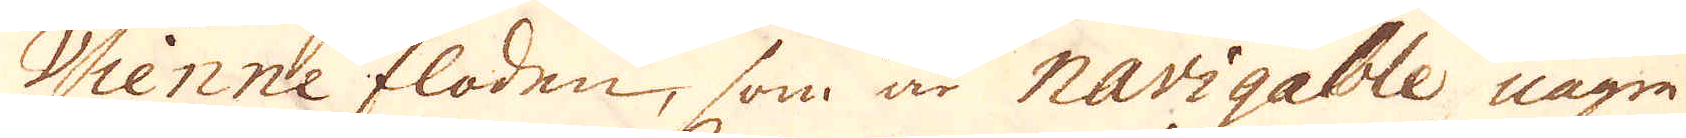Vienne floden, som är navigable några
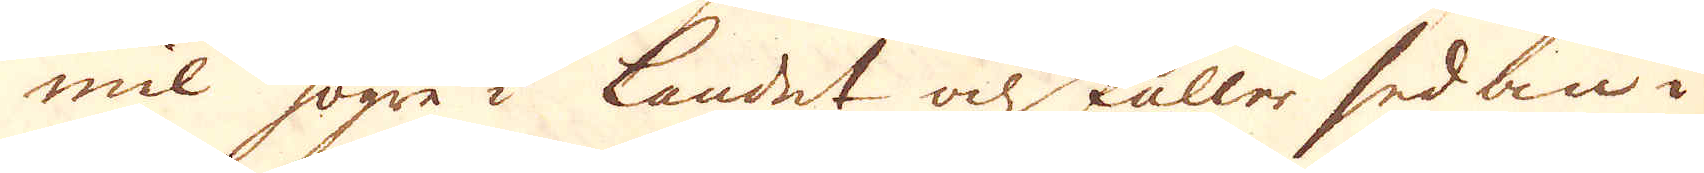mil högre i Landet och faller sedan i
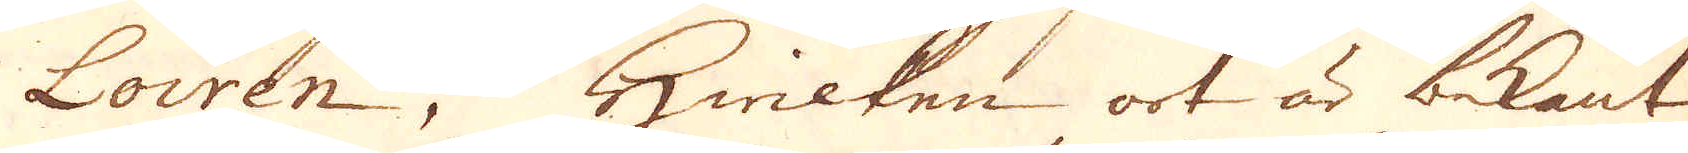Loiren, hwilken ort är bekant
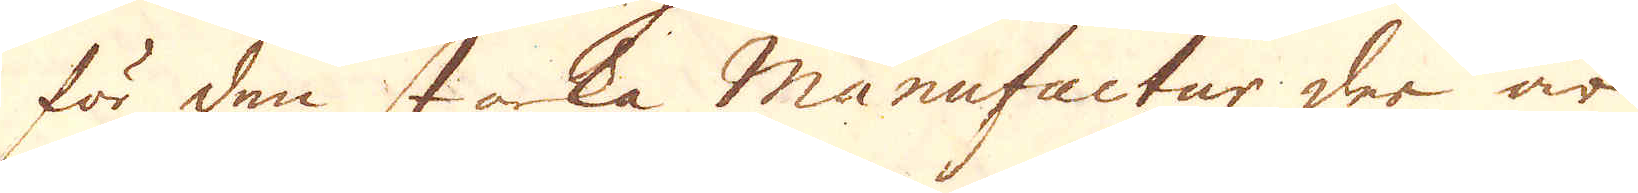för den starka Manufactur der är
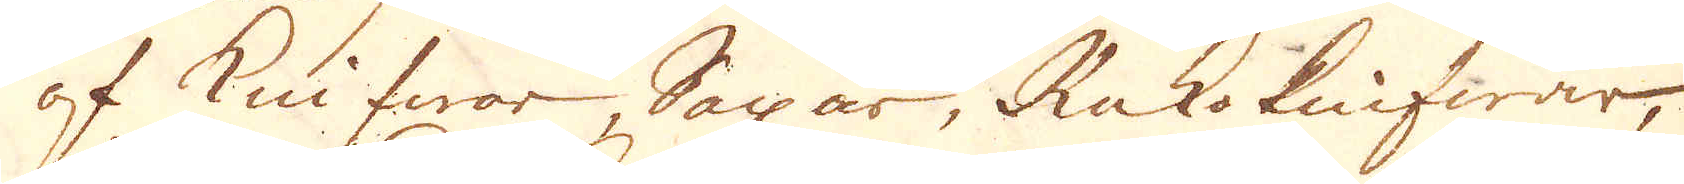af knifwar Saxar, Rak-knifwar,
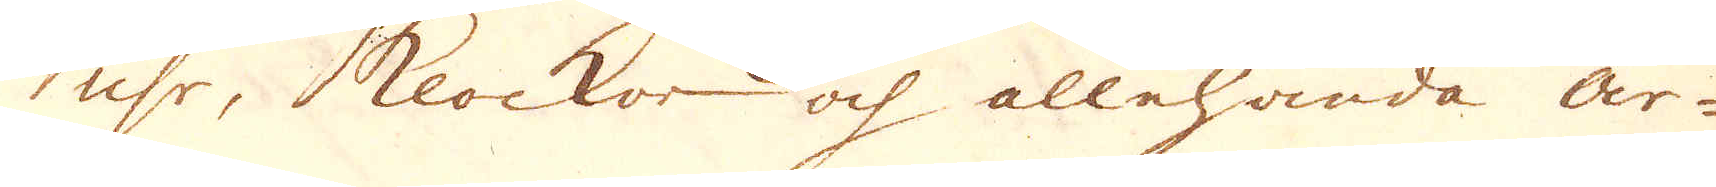uhr, klockor och allehanda ar-
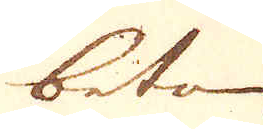beten
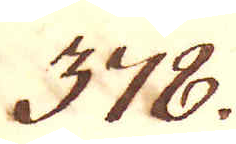378.
